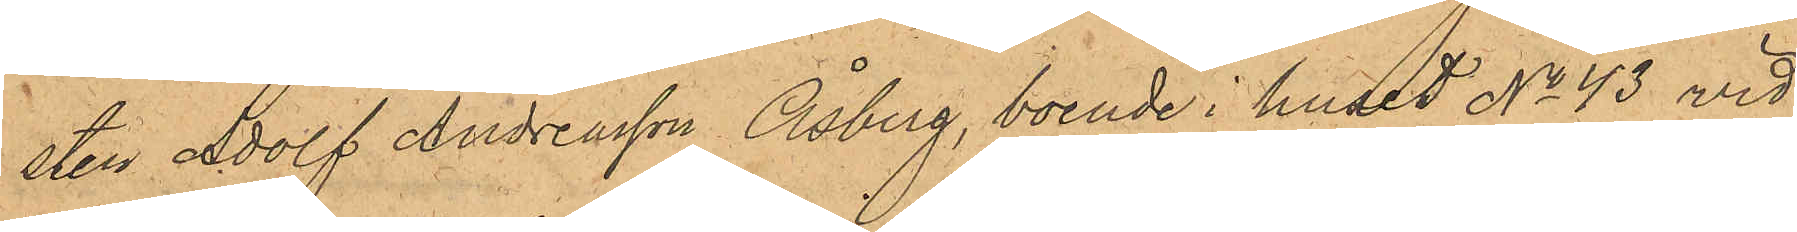sten Adolf Andreasson Åsberg, boende i huset No 43 vid
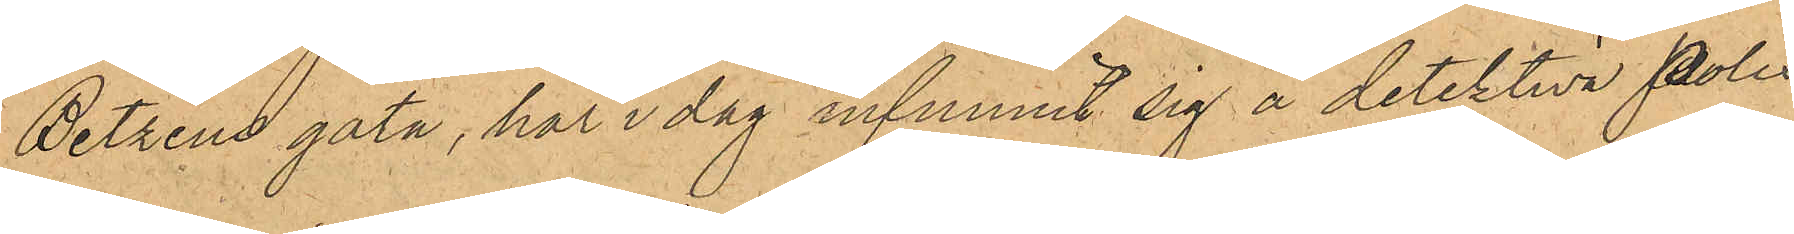Betzens gata, har i dag infunnit sig å detektiva Polis¬
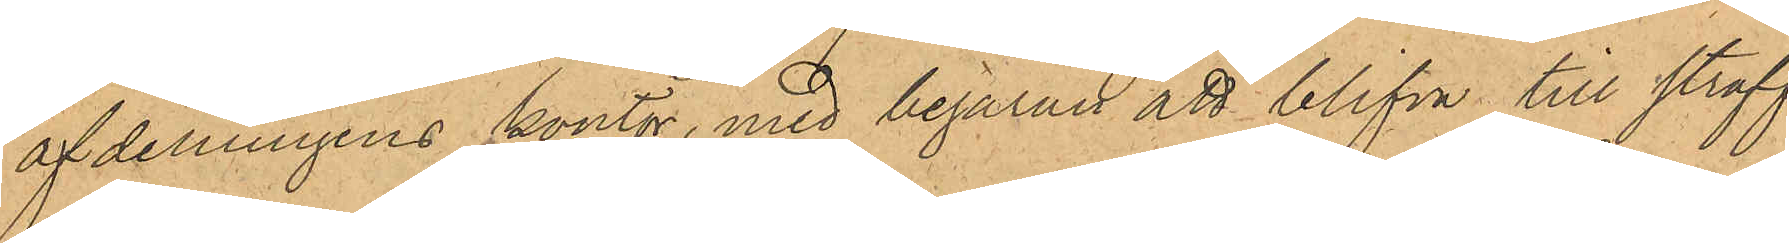afdelningens kontor, med begäran att blifva till straff
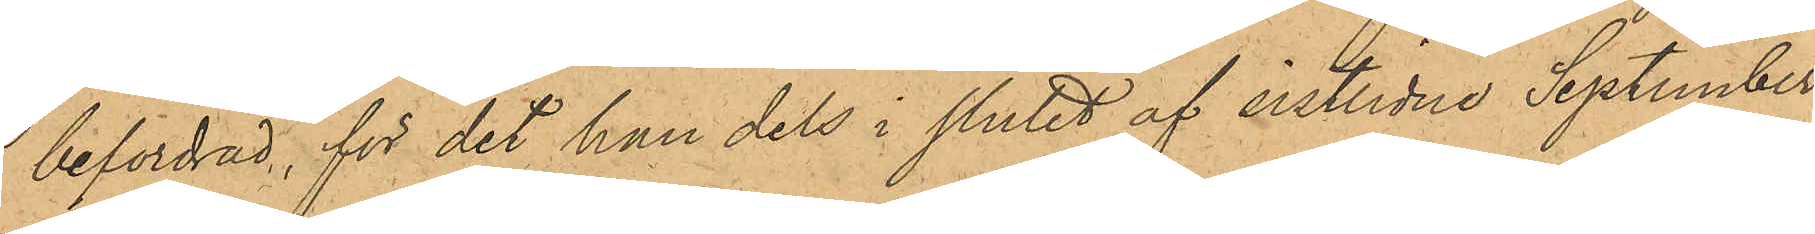befordrad, för det han dels i slutet af sistlidne September
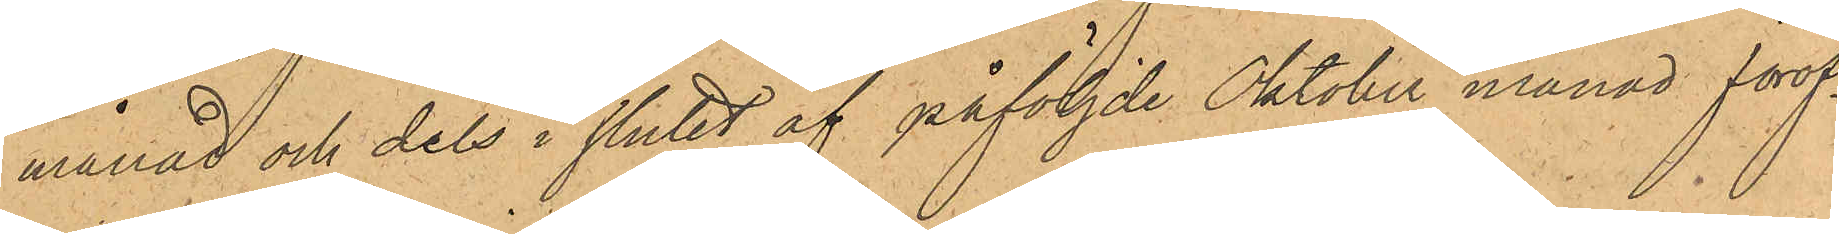månad och dels i slutet af påföljde Oktober månad föröf¬
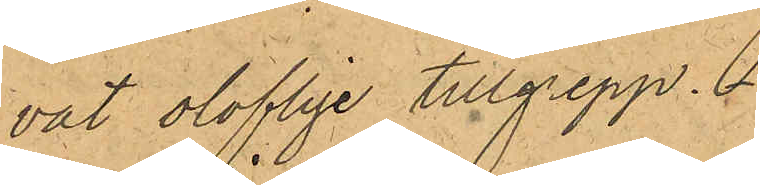vat oloflige tillgrepp.
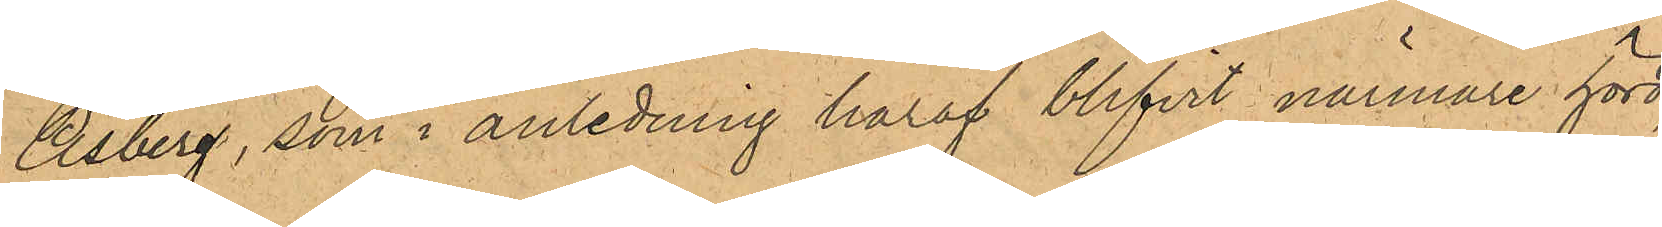Åsberg, som i anledning häraf blifvit närmare hörd,
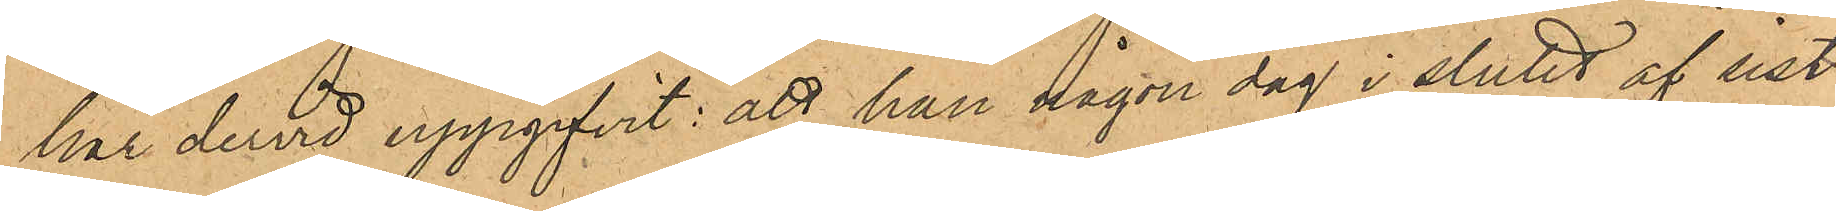har dervid uppgifvit: att han någon dag i slutet af sist¬
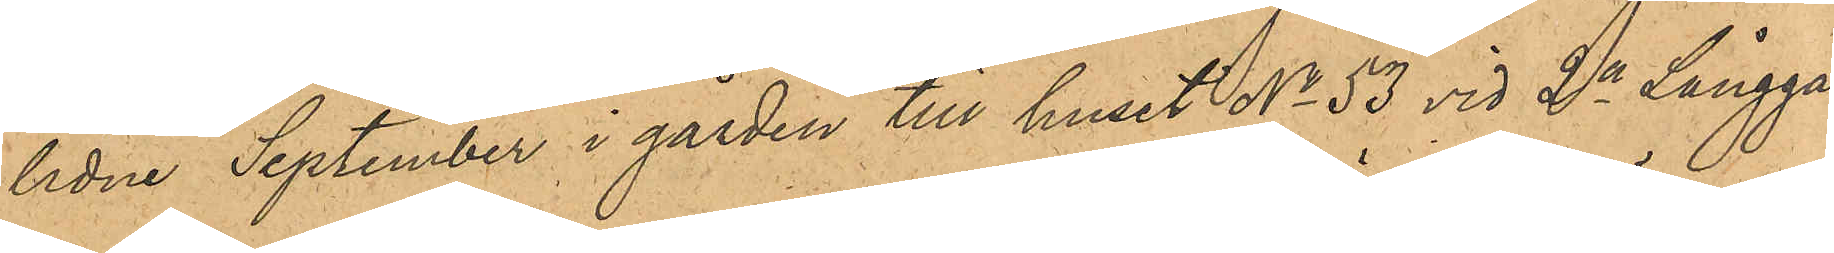lidne September i gården till huset No 53 vid 2a Långga¬
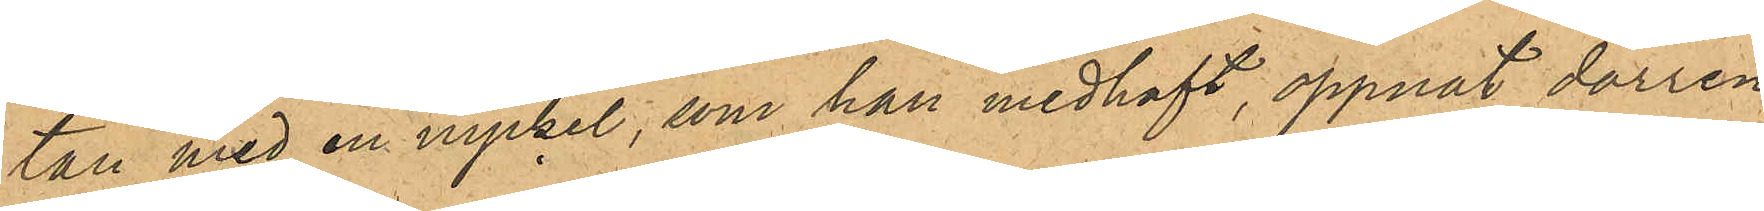tan med en nyckel, som han medhaft, öppnat dörren
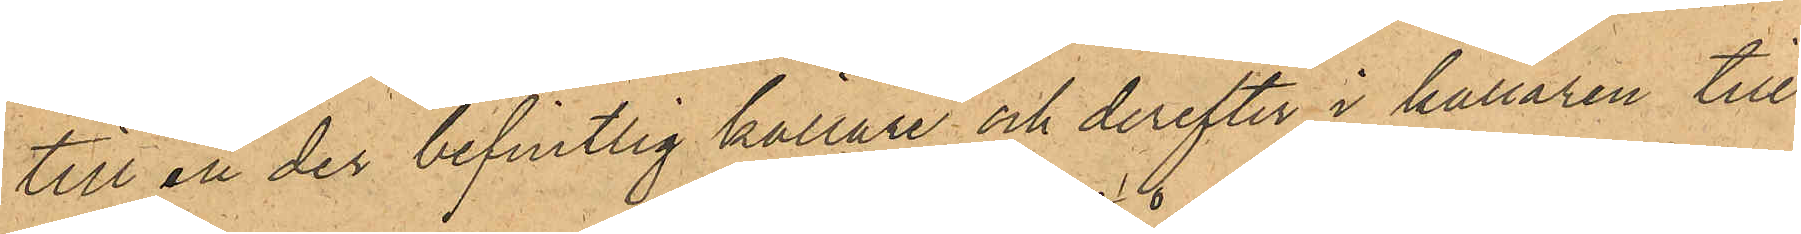till en der befintlig källare och derefter i källaren till¬
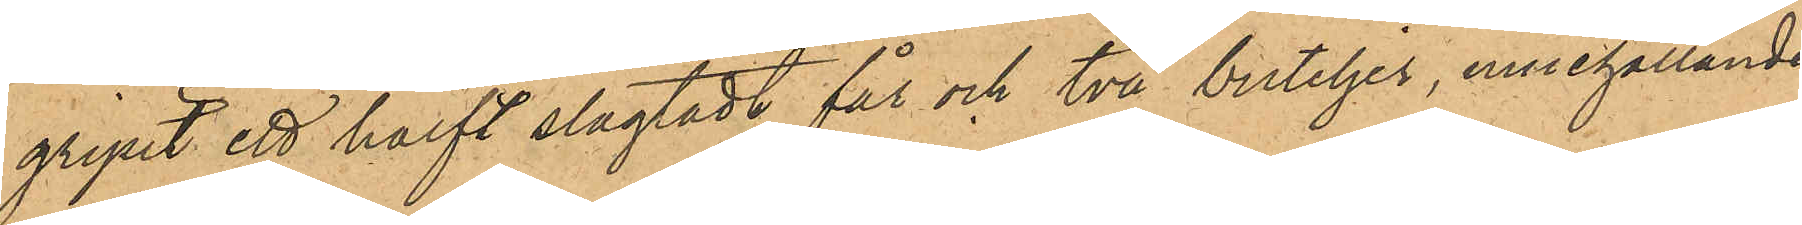gripit ett halft slagtadt får och två buteljer, innehållande
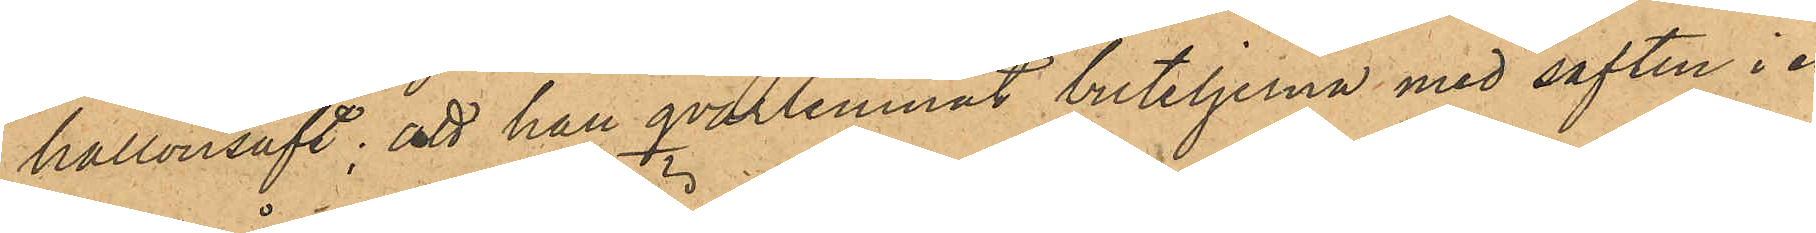hallonsaft; att han qvarlemnat buteljerna med saften i en
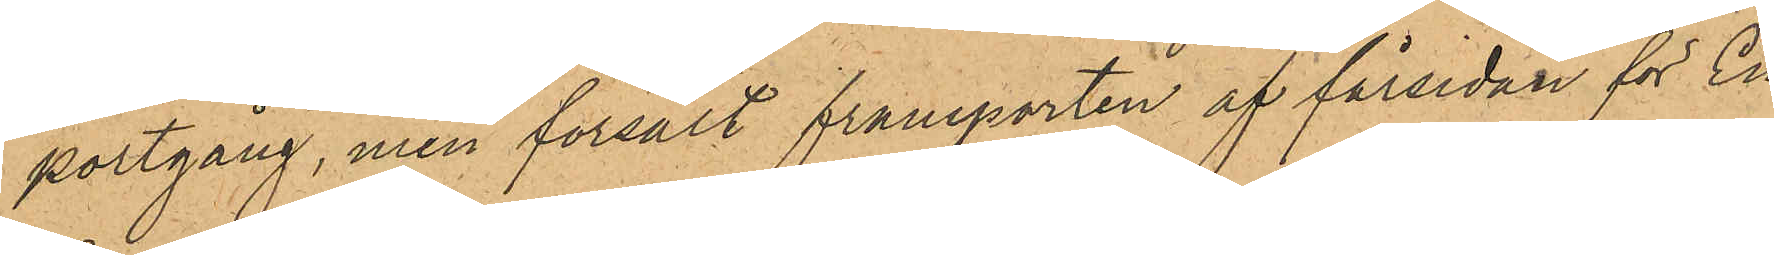portgång, men försålt framparten af fårsidan för En
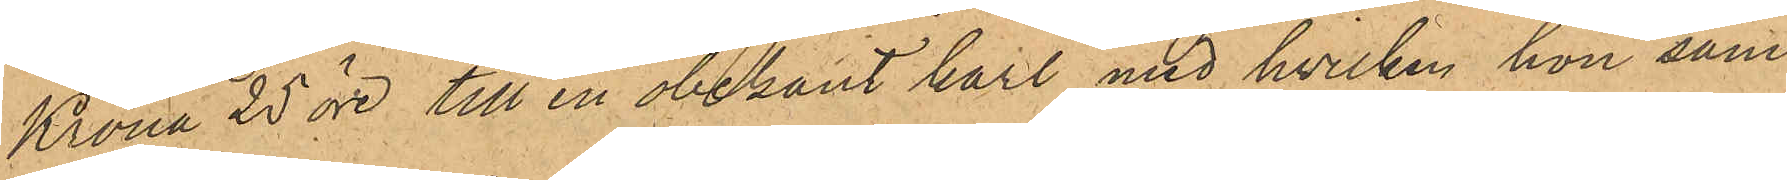Krona 25 öre till en obekant karl, med hvilken han sam¬
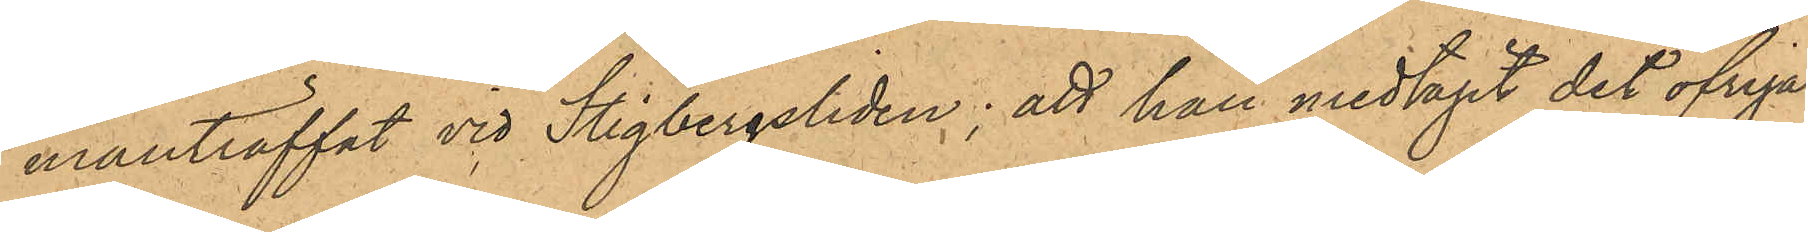manträffat vid Stigbergsliden; att han medtagit det öfriga
